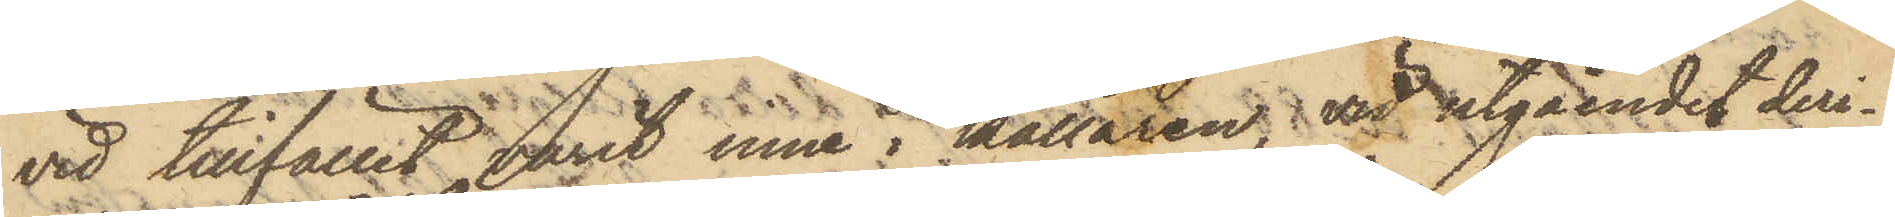vid tillfället varit inne i källaren; vid utgåendet deri¬
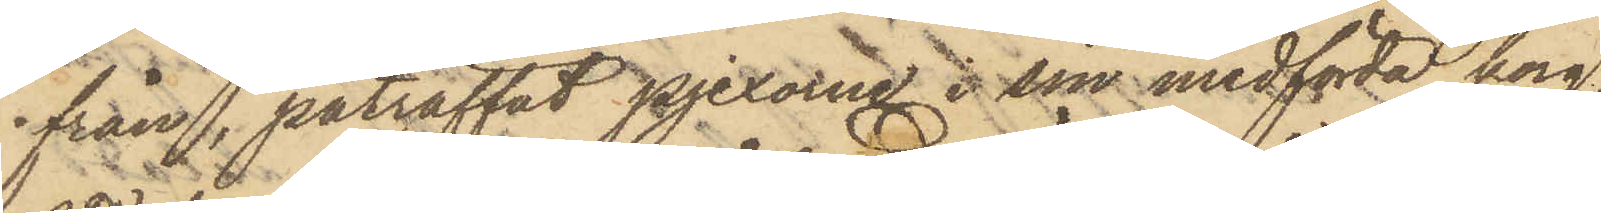från, påträffat pjexorne i sin medförda korg,
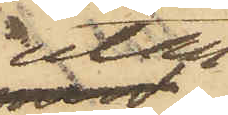utan
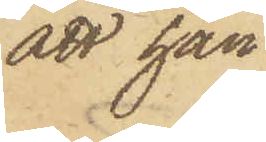att han
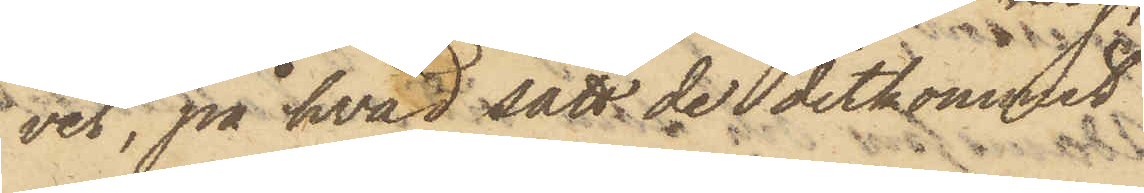vet, på hvad sätt de ditkommit
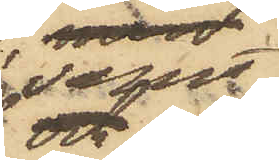samt
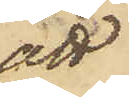att
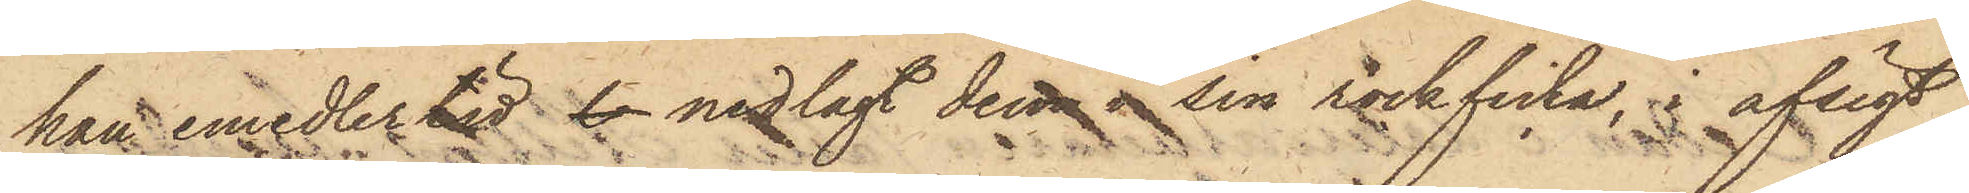han emedlertid l nedlagt dessa sin rockficka, i afsigt
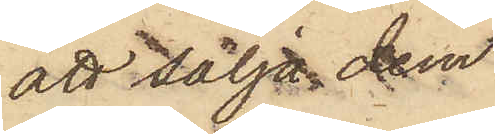att sälja dem.
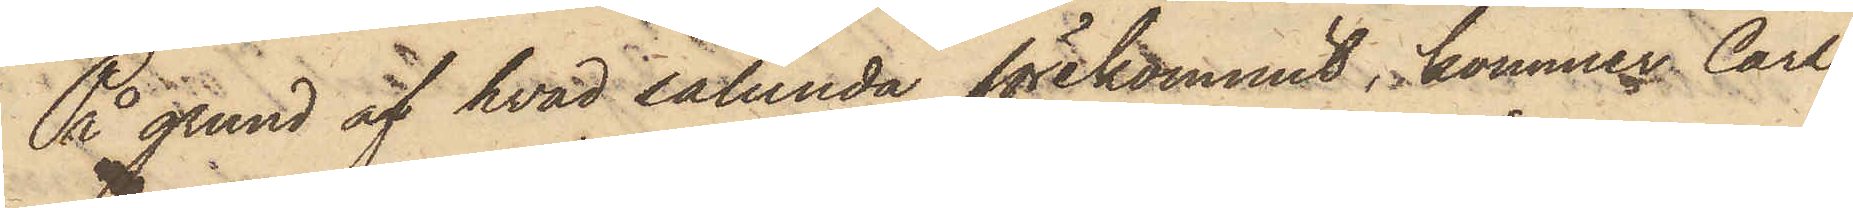På grund af hvad sålunda förekommit, kommer Carl
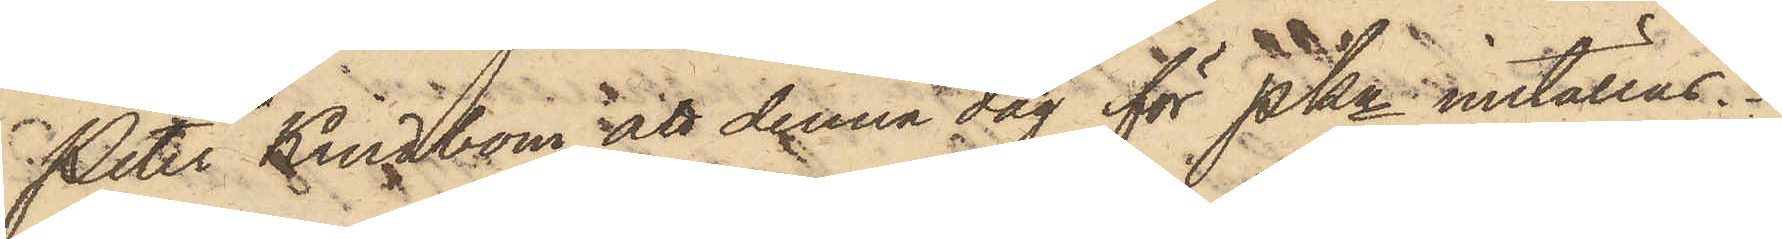Peter Kindbom att denna dag för PKn inställas.
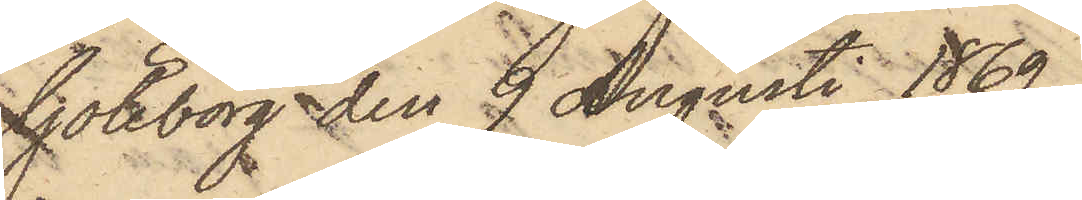Göteborg den 9 Augusti 1869.
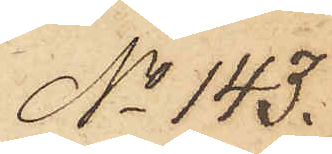No 143.
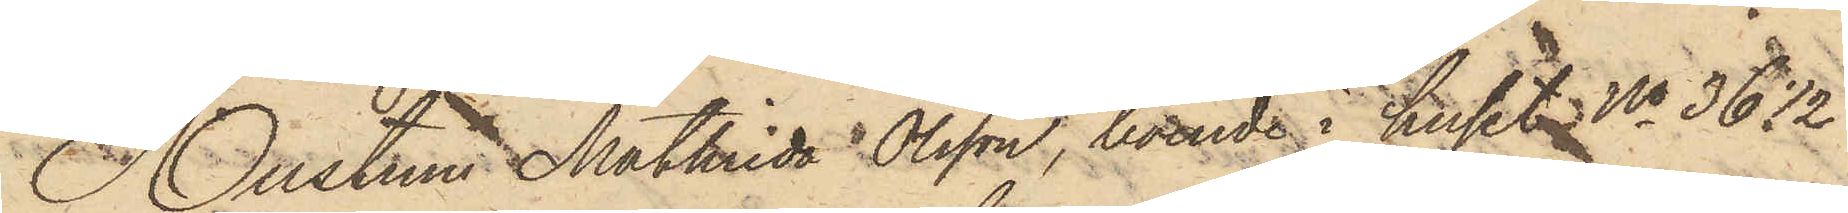Hustrun Mathilda Olsson, boende i huset No 36 1/2
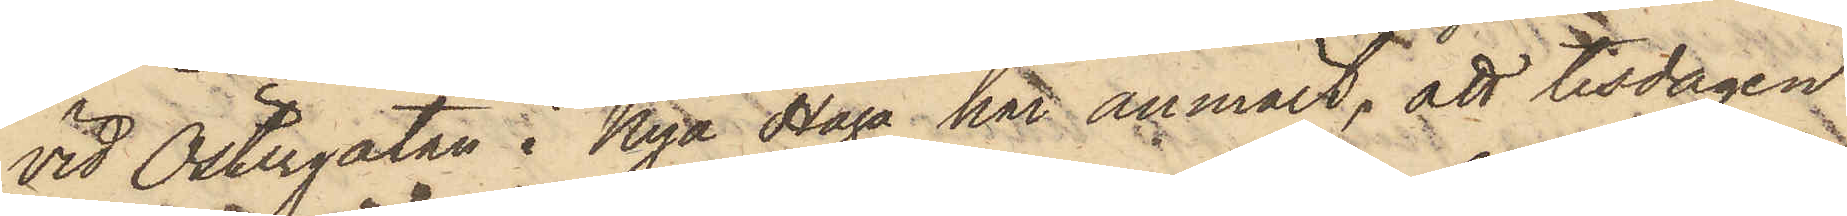vid Östergatan i Nya Haga har anmält, att tisdagen
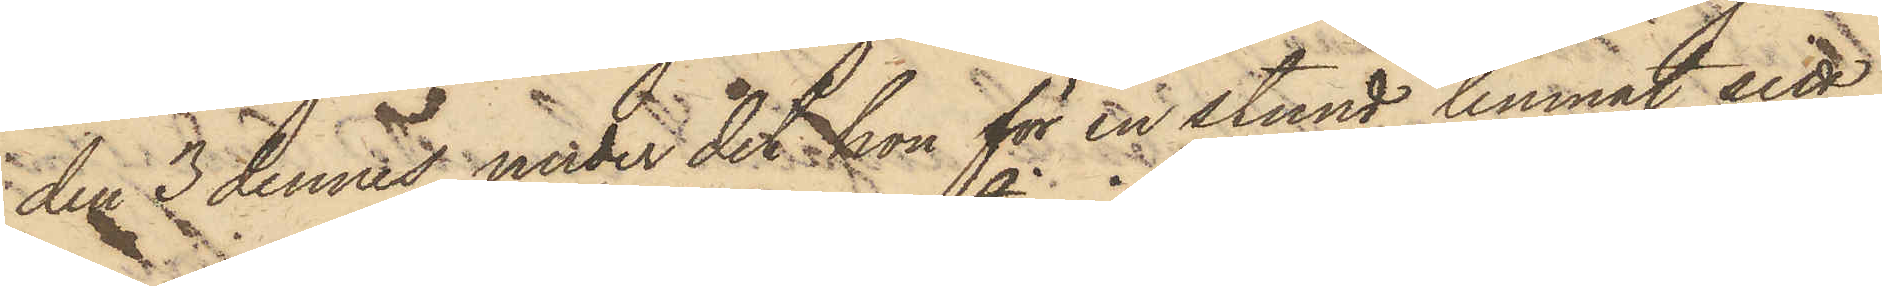den 3 dennes, under det hon för en stund lemnat sitt
